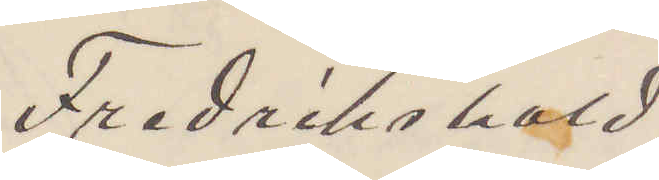Fredrikshald.
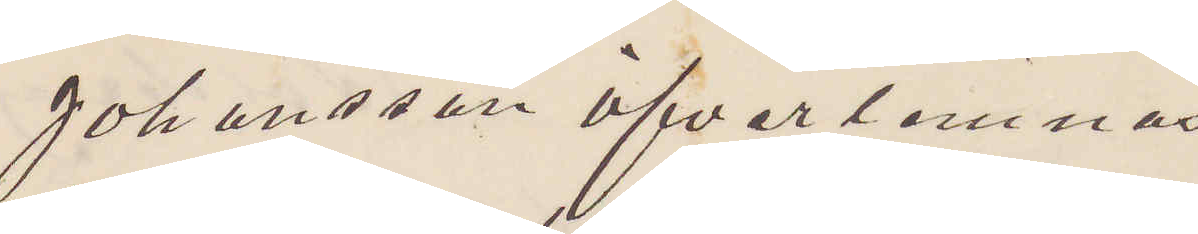Johansson öfverlemnas
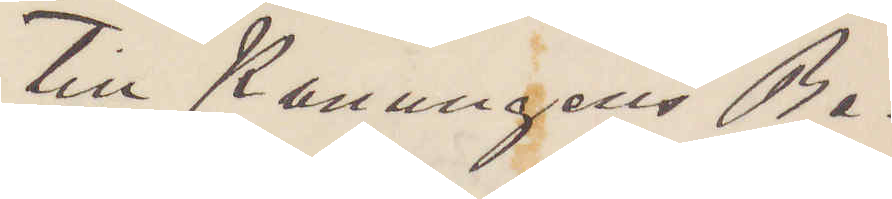till Konungens be¬
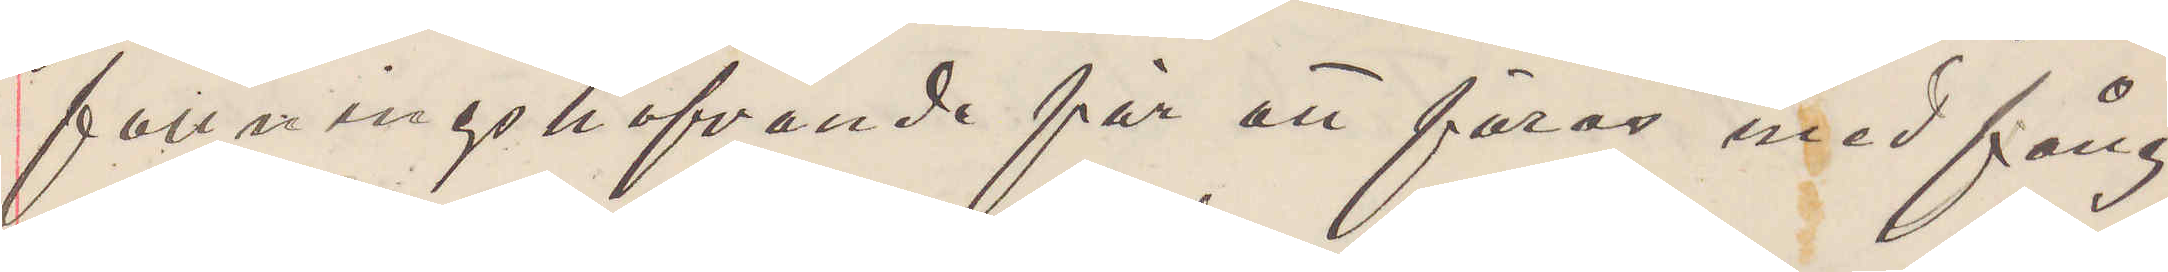fallningshafvande för att föras med fång¬
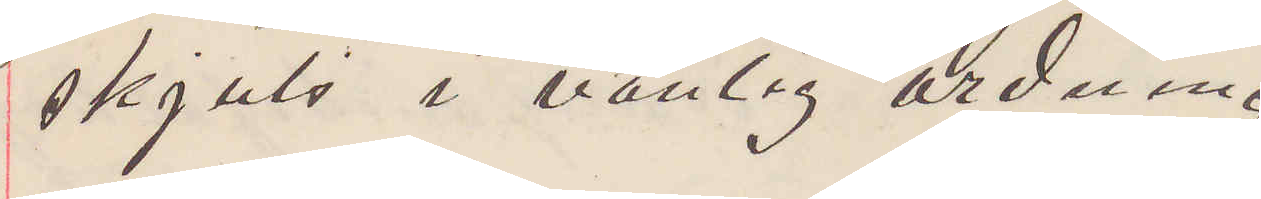skjuts i vanlig ordning.
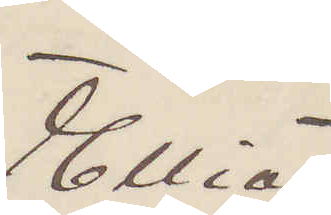Elliot
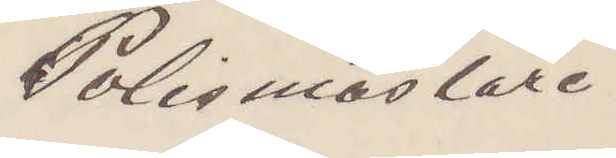Polismästare.
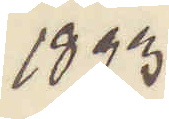1893
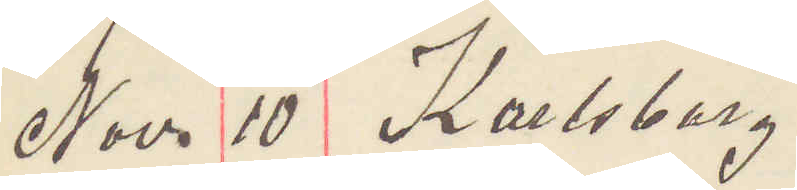Nov 10 Karlsborg.
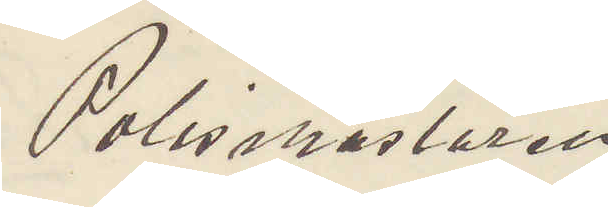Polismästaren
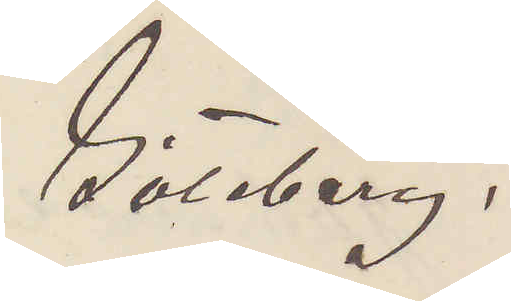Göteborg.
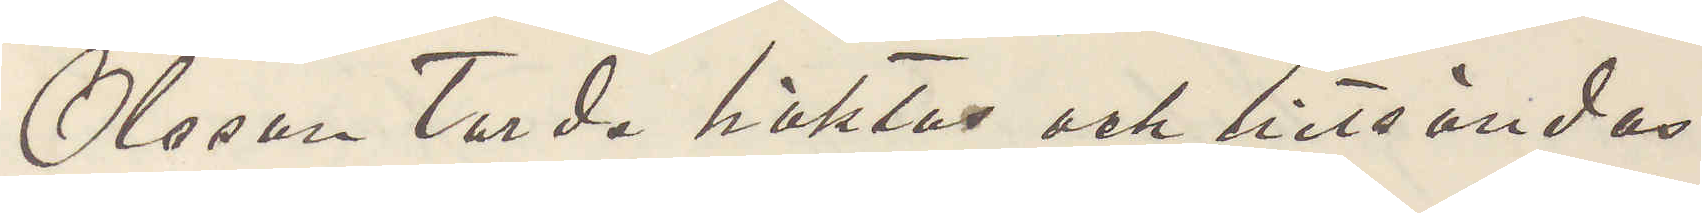Olsson torde häktas och hitsändas.
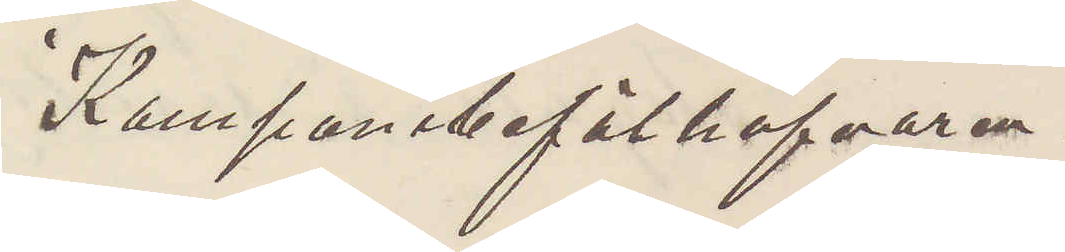Kompanibefälhafvaren.
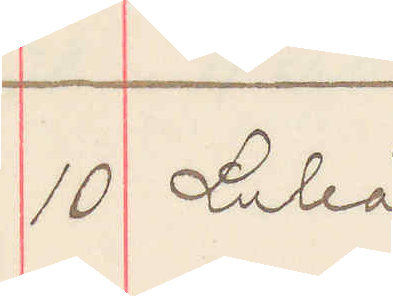10 Luleå
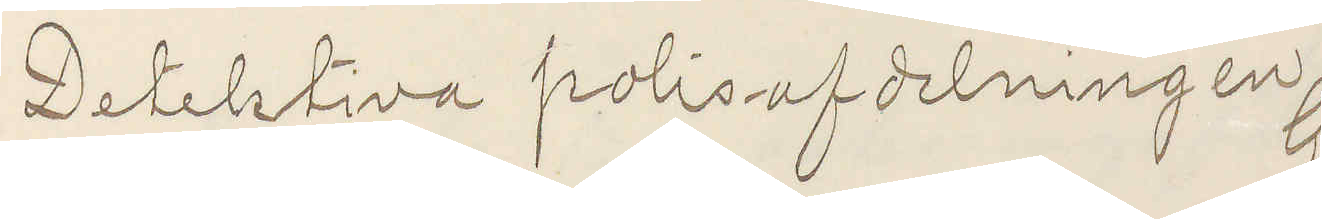Detektiva polisafdelningen
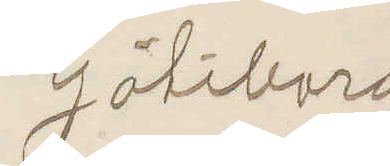Göteborg
